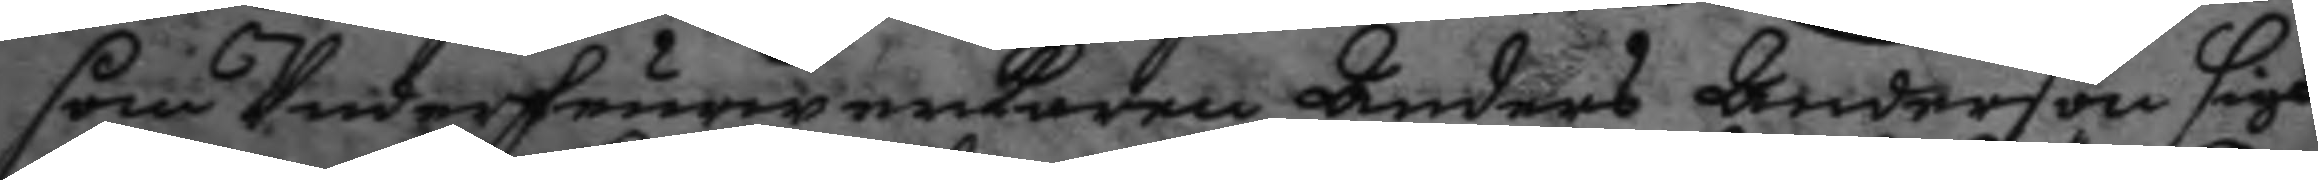som Underfeurerwerkaren Anders Anderson sigh
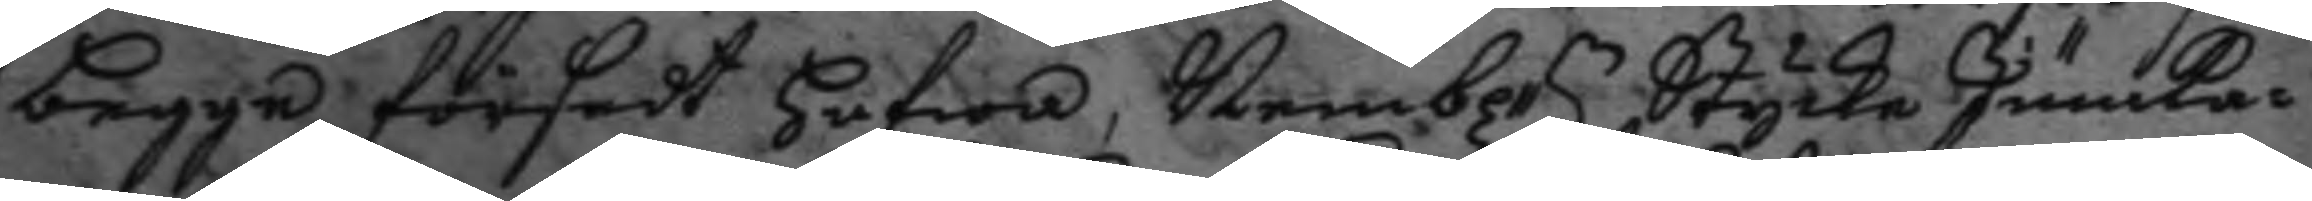begge försedt hafwa, Nembl:n Stycke Junka¬ 
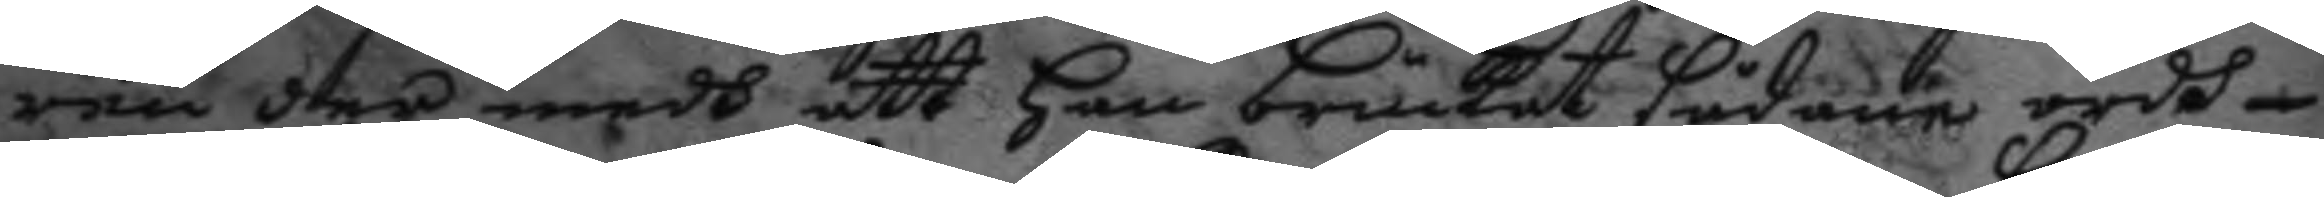ren der medh att han bruckat sådane ordh
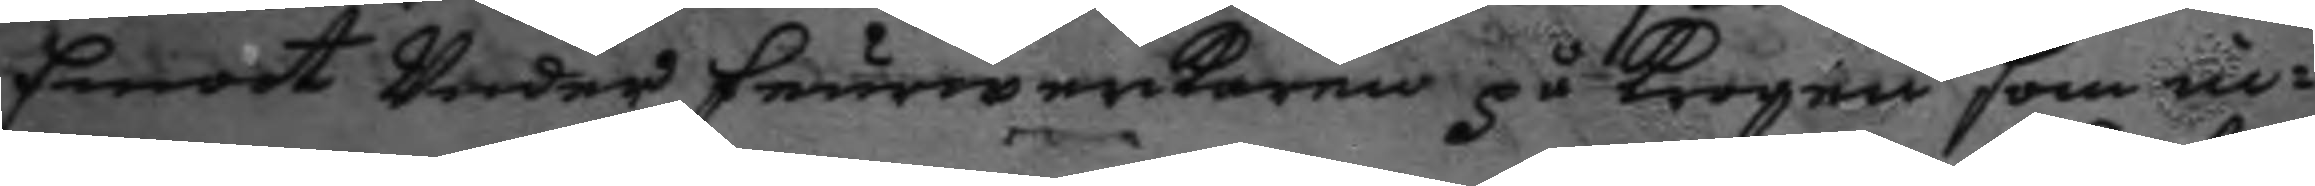Emoot Under feurerwerkaren på krogen som in¬
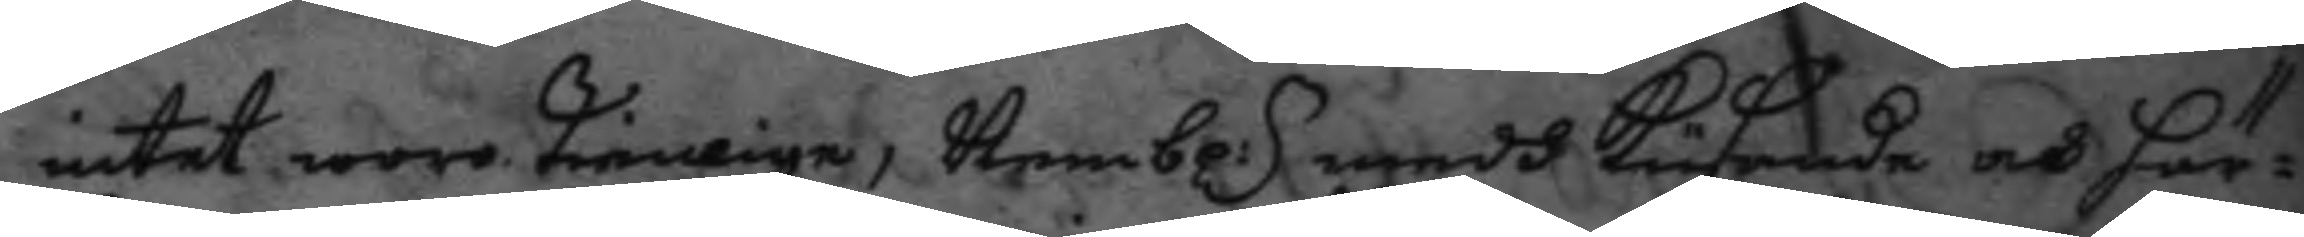intet woro tienlige, Nembl:n medh kusende och här¬
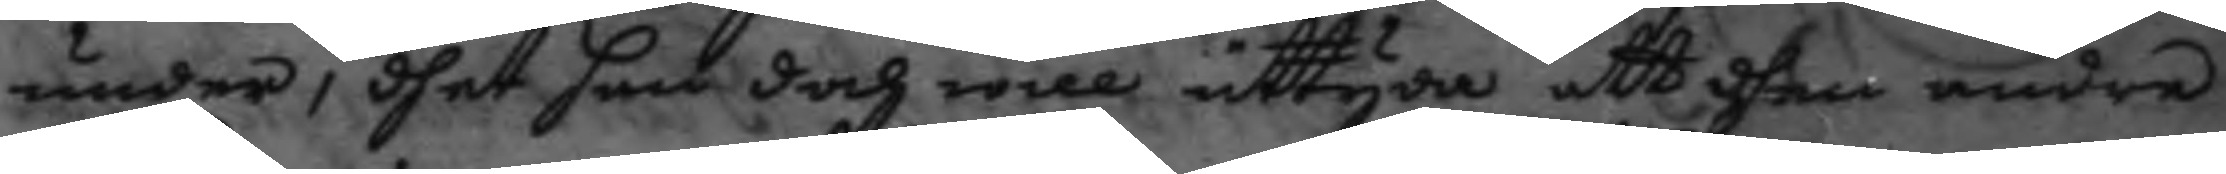under, dhet han doch will uttyda att dhen andra
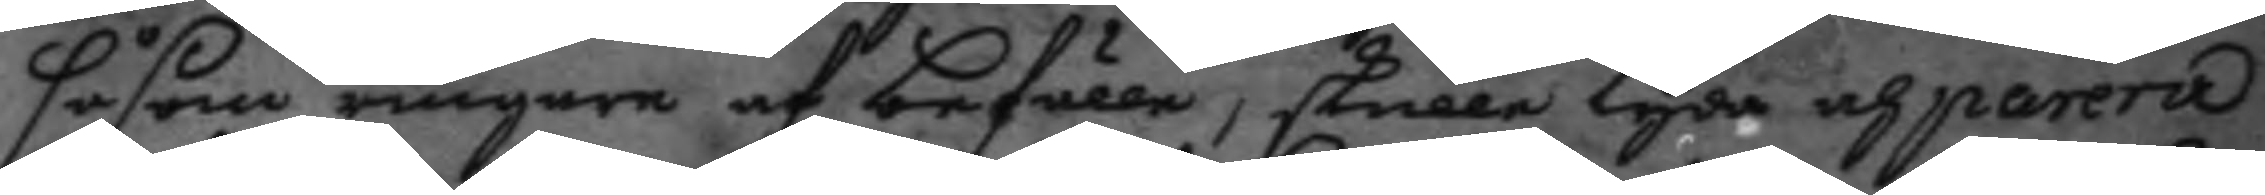såsom ringare af befälle, skulle lyda och parera
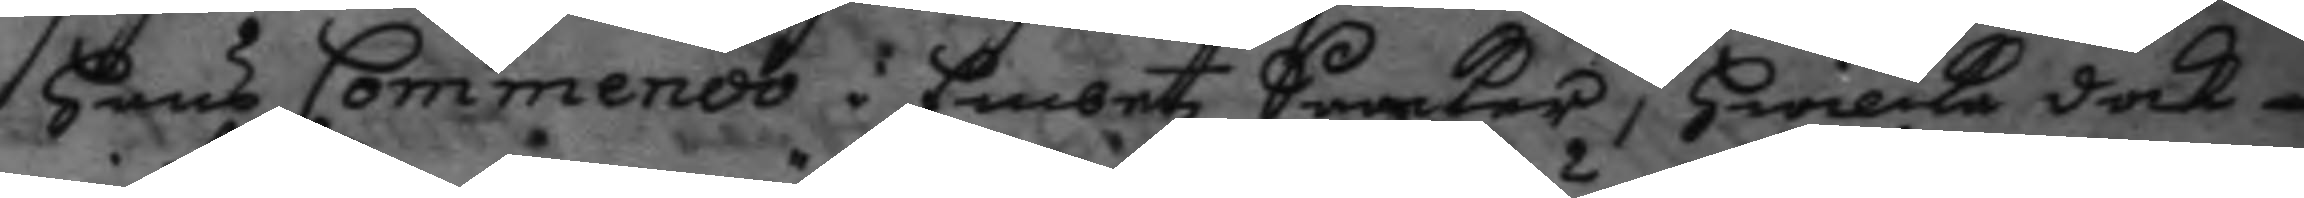hans Commendo i Embetz Saaker, hwilke dock
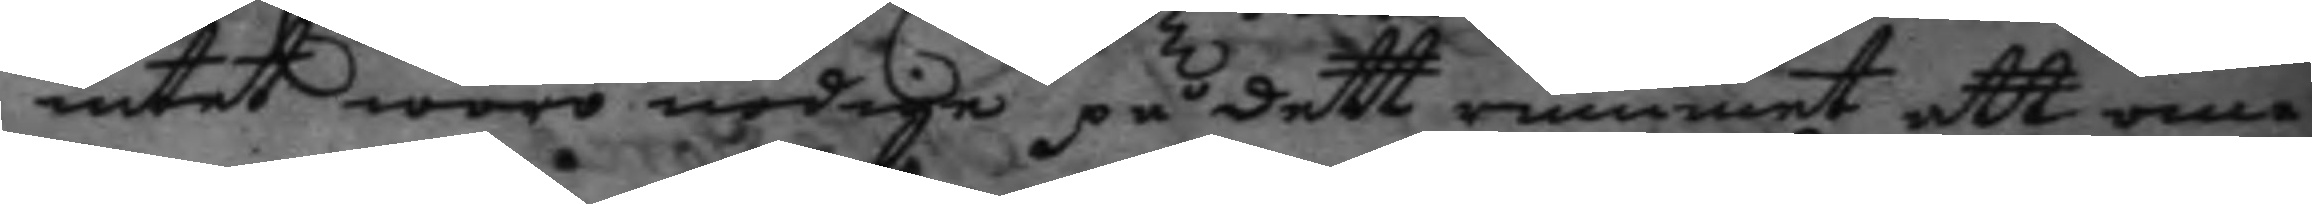intet woro nödige på dett rummet att om¬
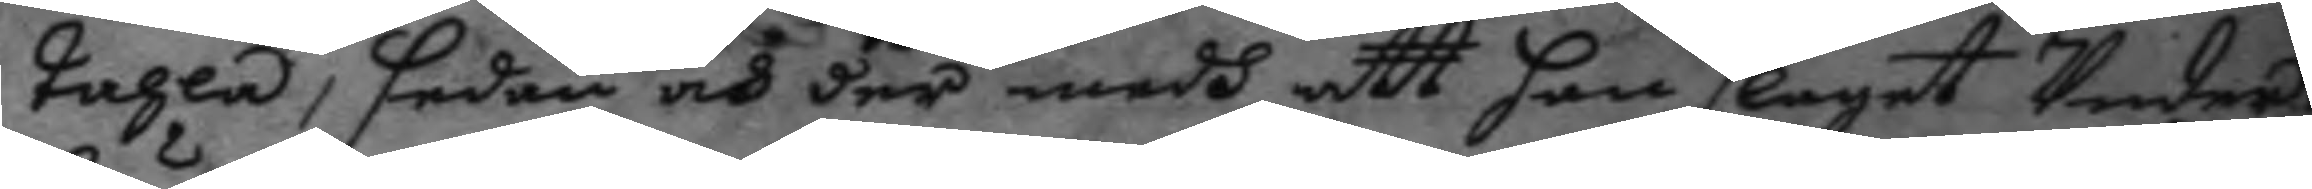tahla, sedan och där medh att han slaget Under¬
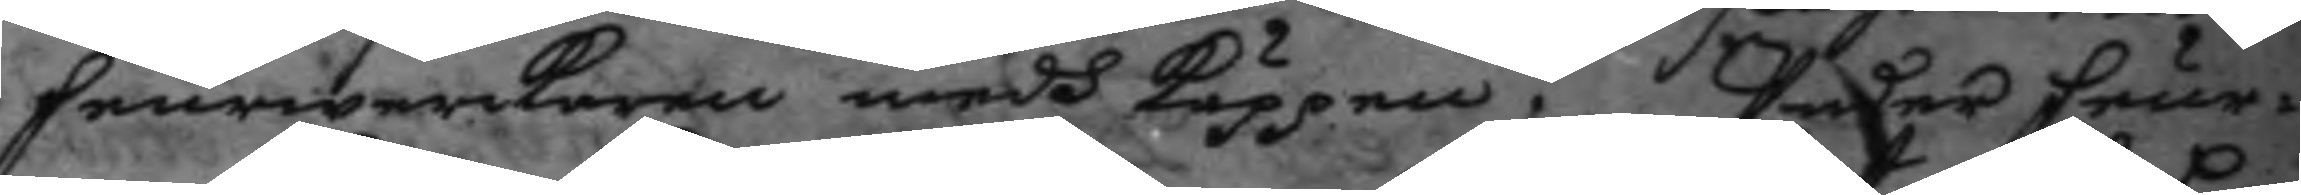feurwerkaren medh käppen. Under feur¬
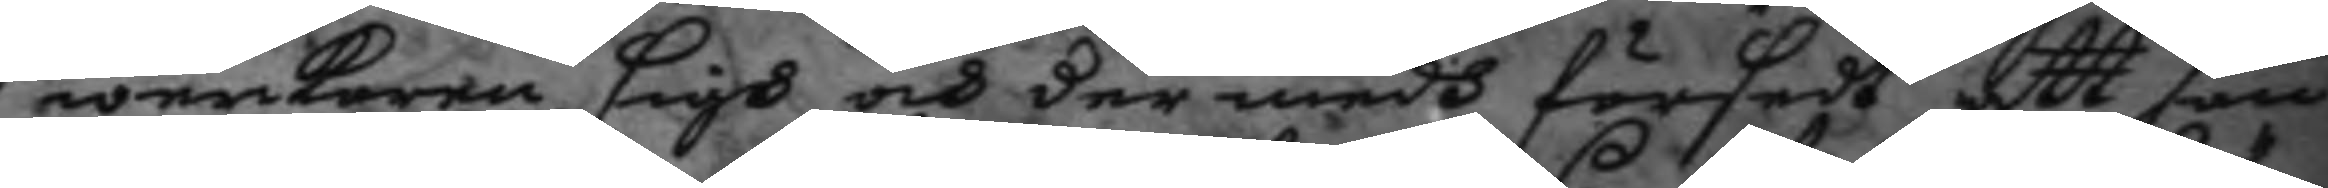werkaren sigh och der medh försedt att ham
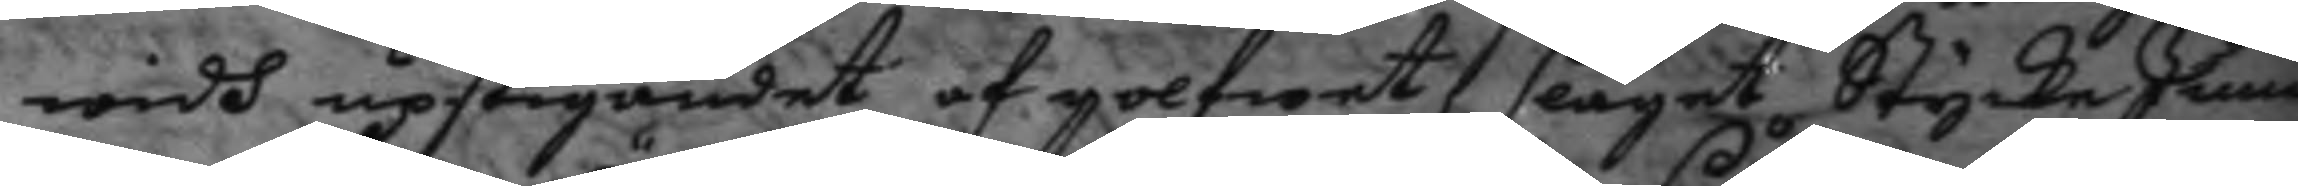widh upstigandet af golfwet, slaget Stycke Junc¬
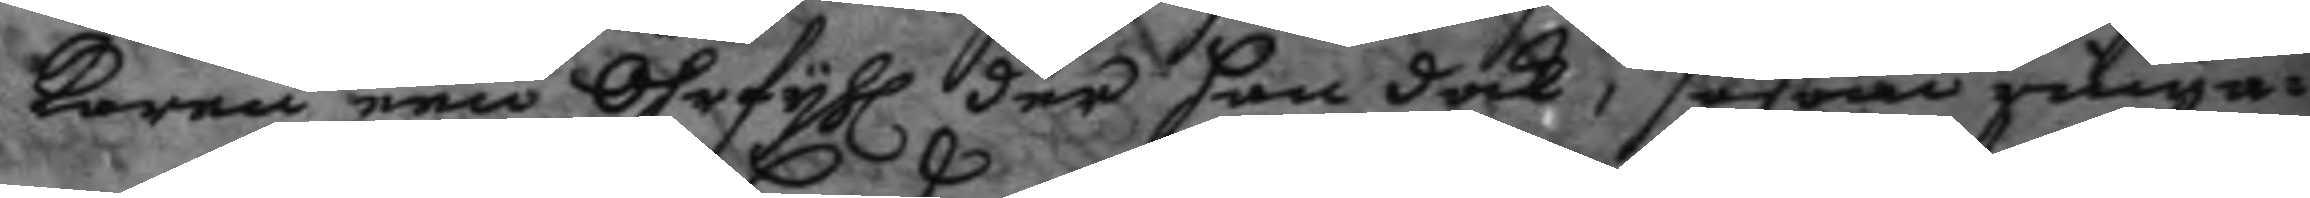karen een Öhrfyhl der han dock, såsom ringa¬
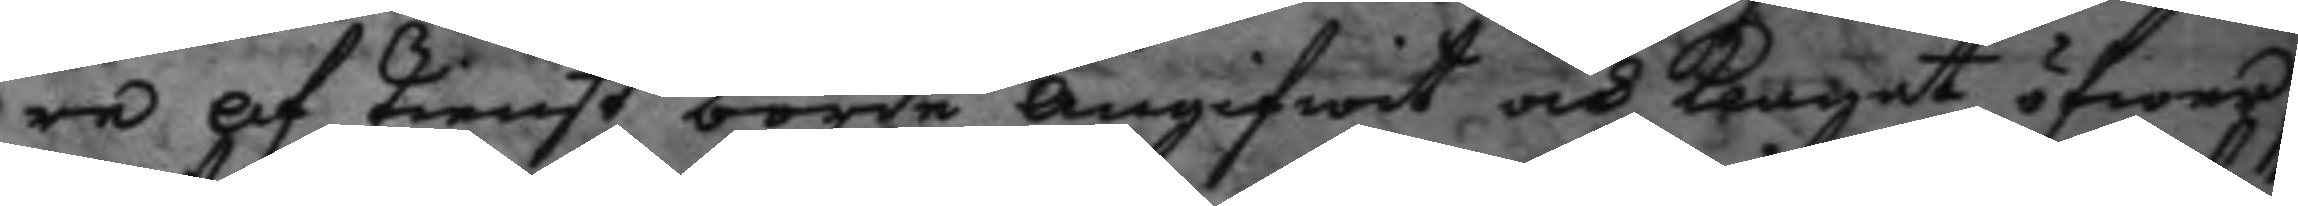re af tienst borde angifwit och klagat öfwer
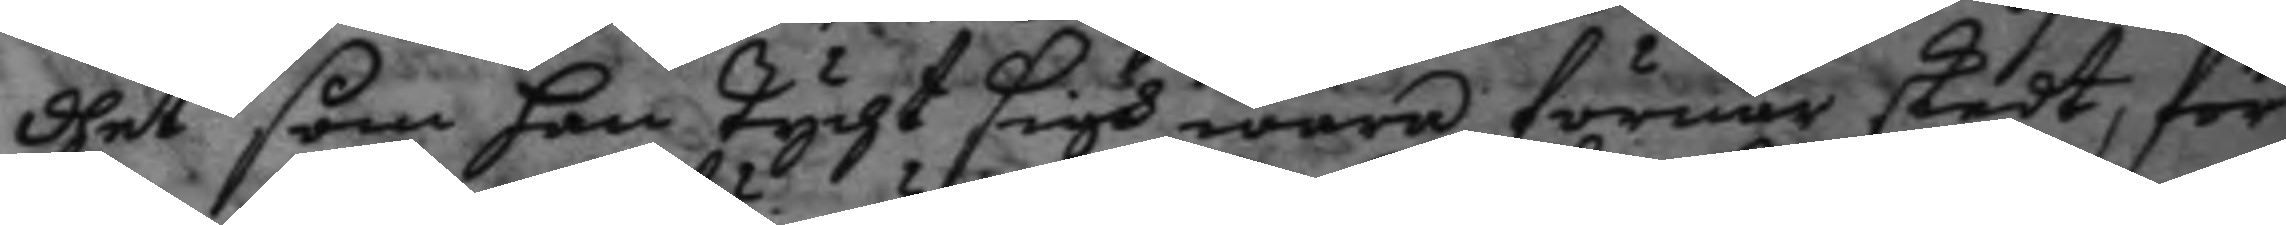dhet som han tycht sigh wara förnär skedt, för
